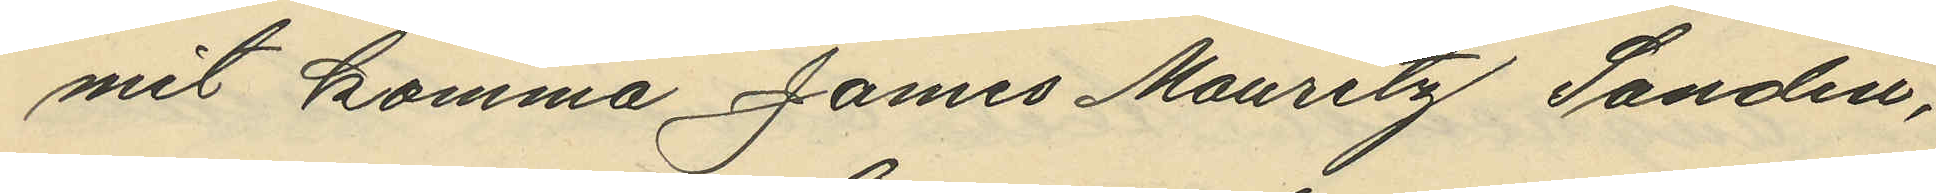mit komma James Mauritz Sandin,
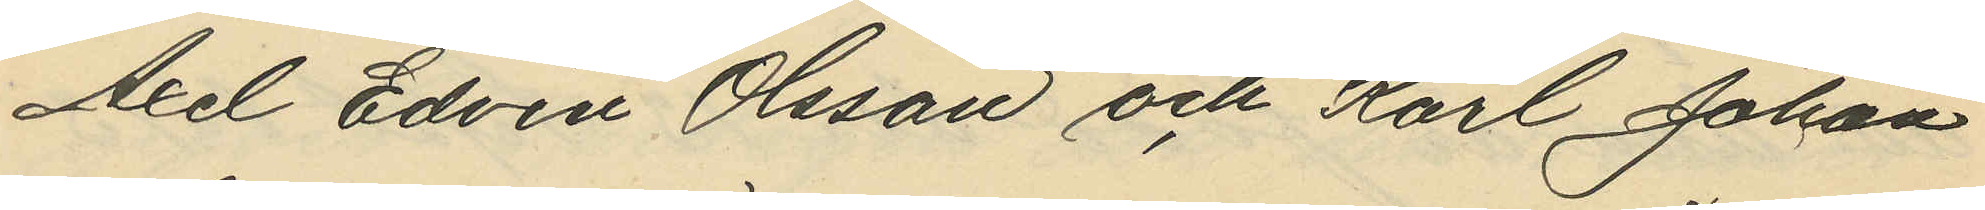Axel Edvin Olsson och Karl Johan
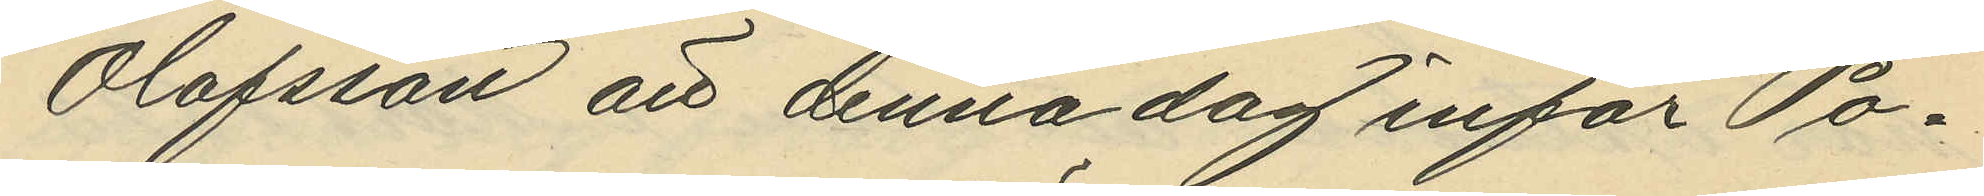Olofsson att denna dag inför Po¬
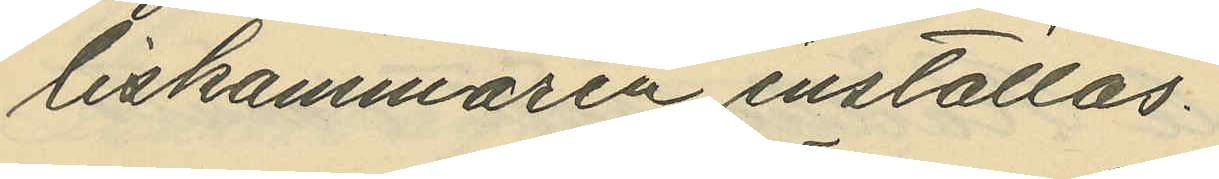liskammaren inställas.
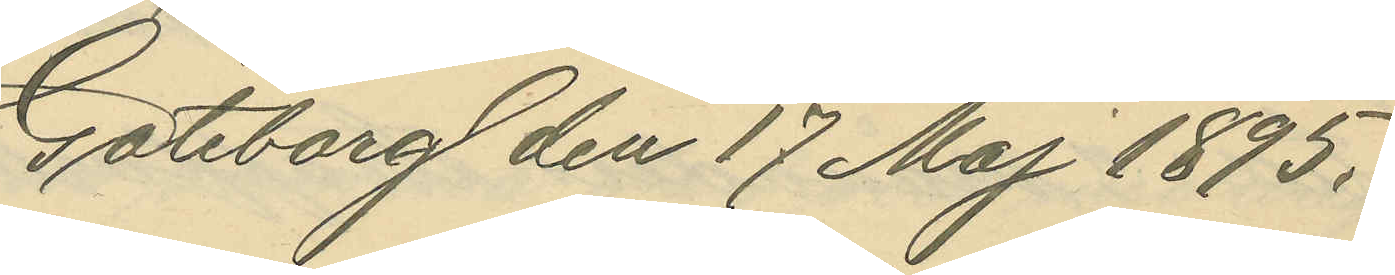Göteborg den 17 Maj 1895.
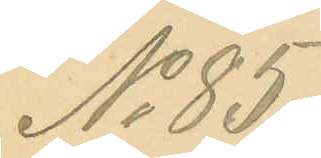No 85.
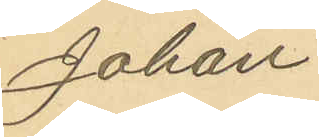Johan
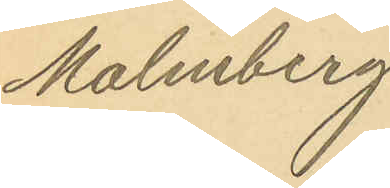Malmberg
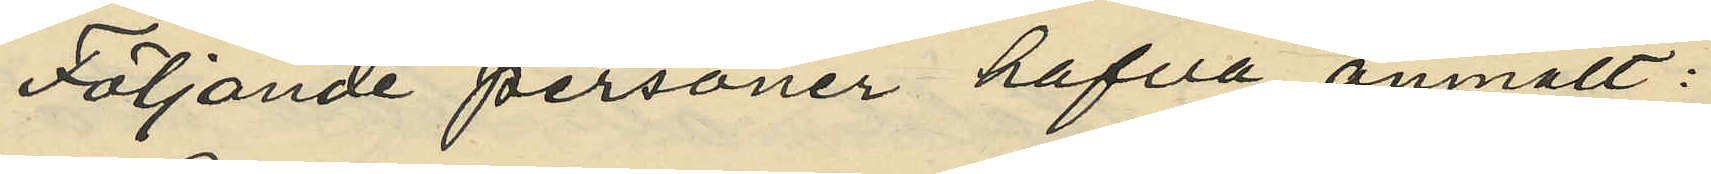Följande personer hafva anmält:
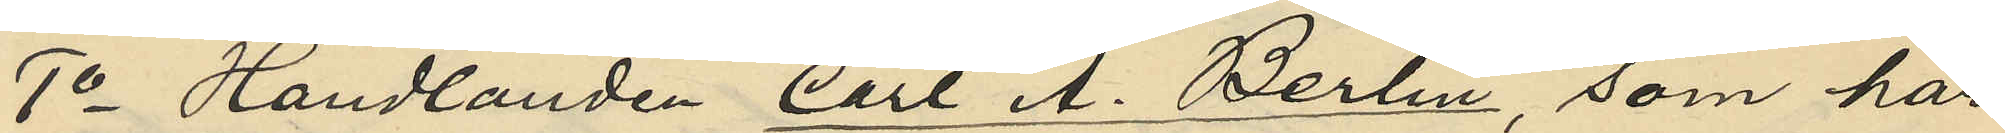1o Handlanden Carl A. Berlin som har
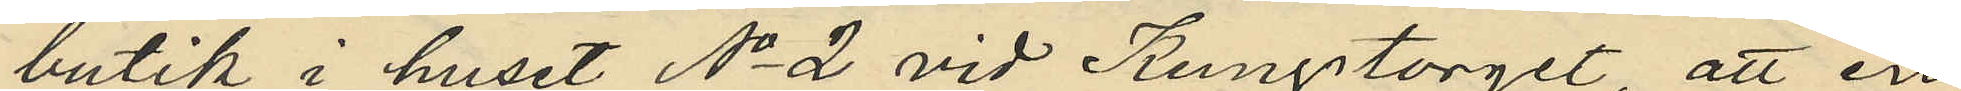butik i huset No 2 vid Kungstorget, att en
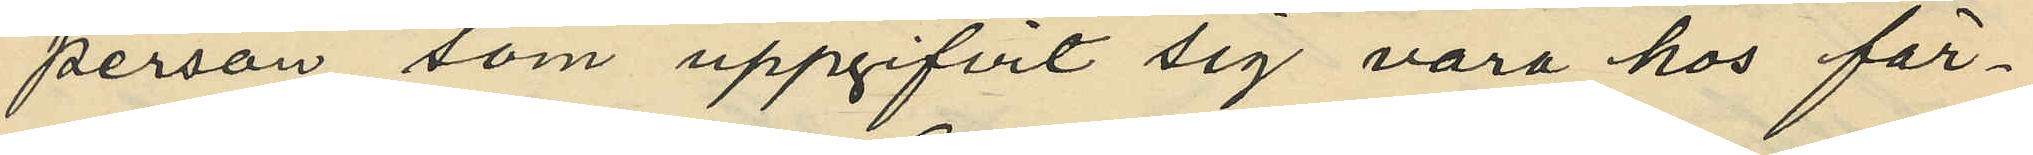person, som uppgifvit sig vara hos fär¬
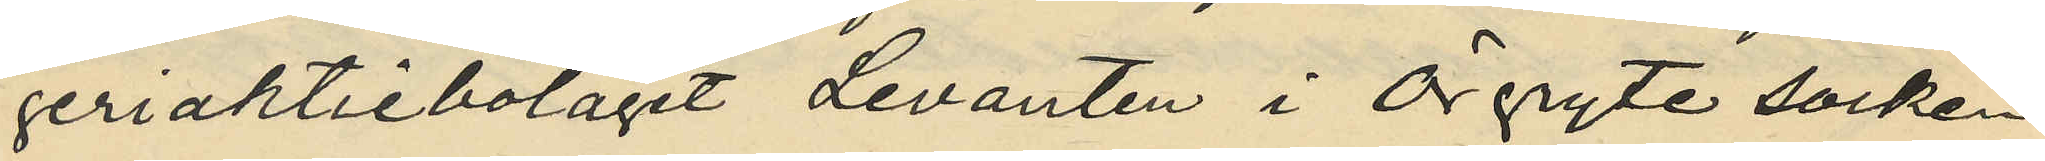geriaktiebolaget Levanten i Örgryte socken
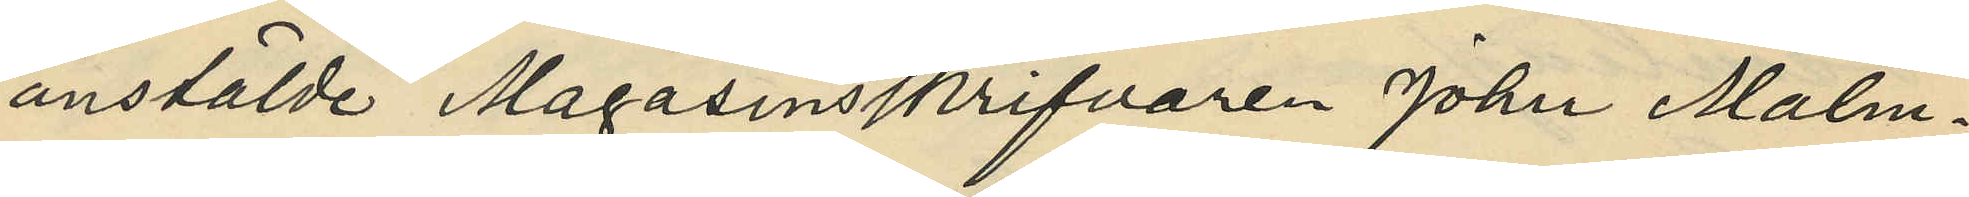anstälde Magasinsskrifvaren Johan Malm¬
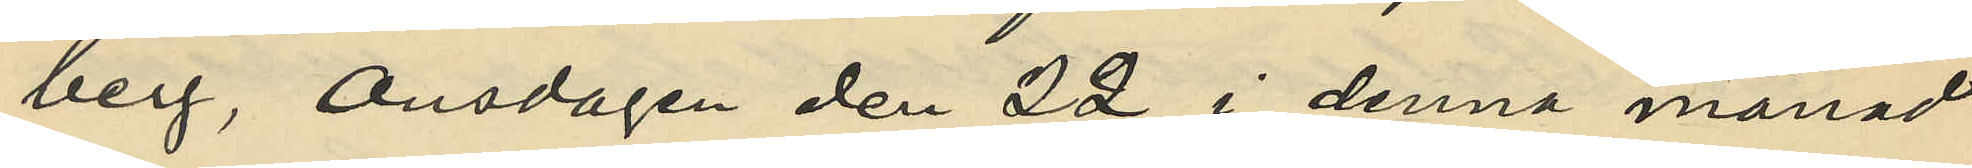berg, Onsdagen den 22 i denna månad
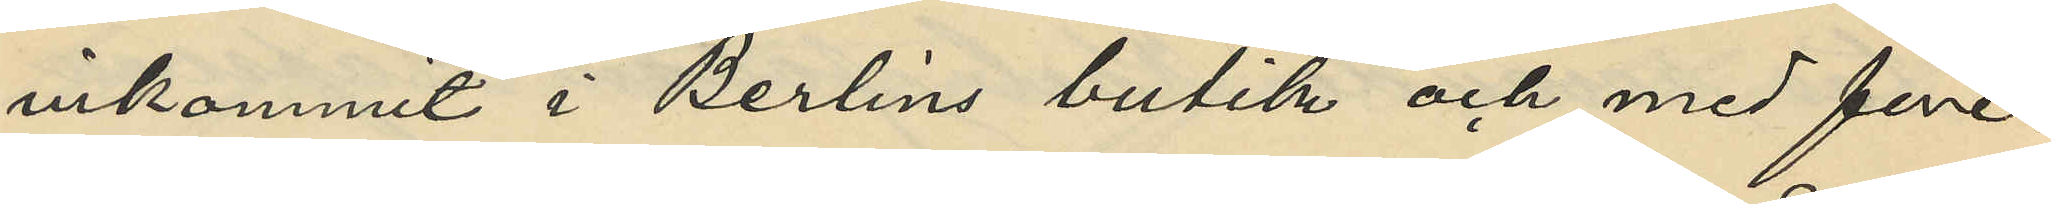inkommit i Berlins butik och med före¬
